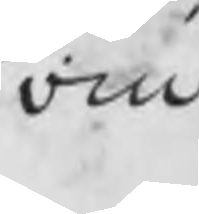om
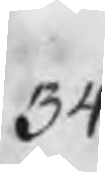34.
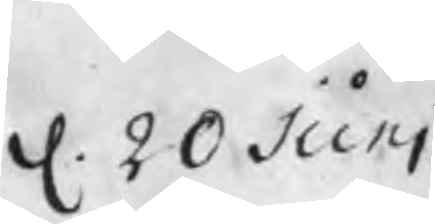d. 20 Juni
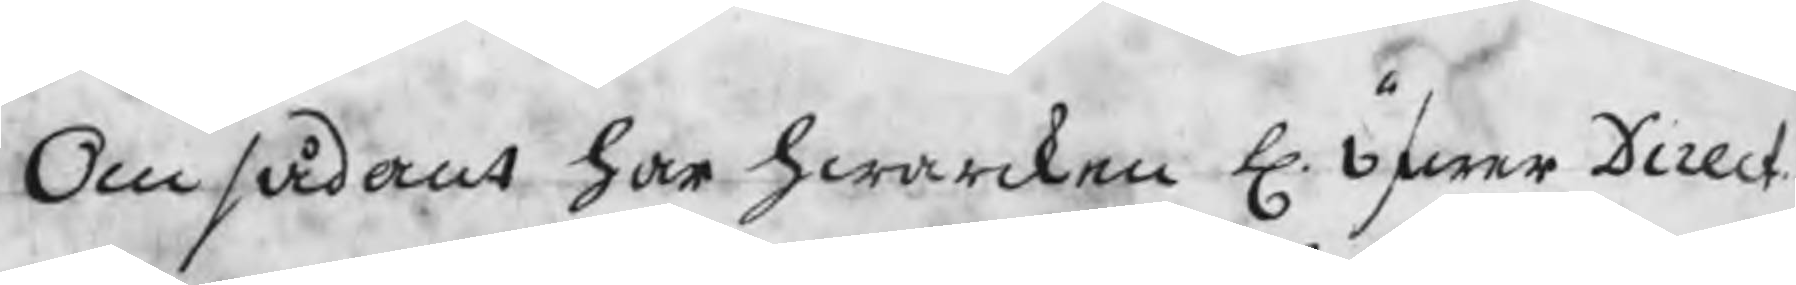Om sådant har hwarcken H. Öfwer Direct
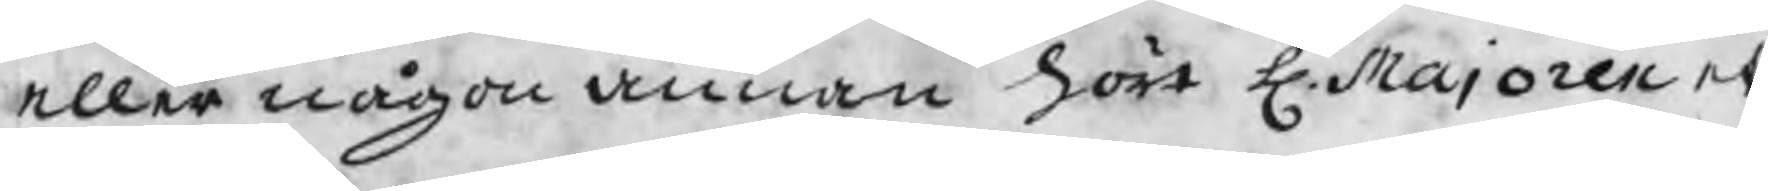eller någon annan hört H. Majoren et
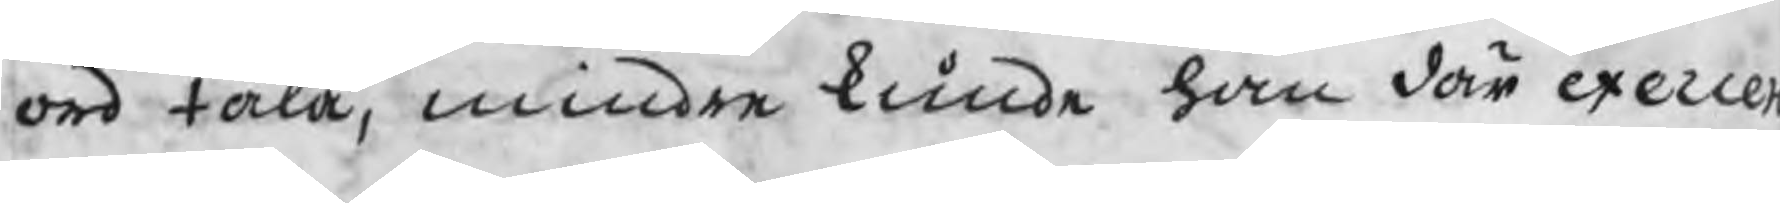ord tala, mindre kunde han där exerce
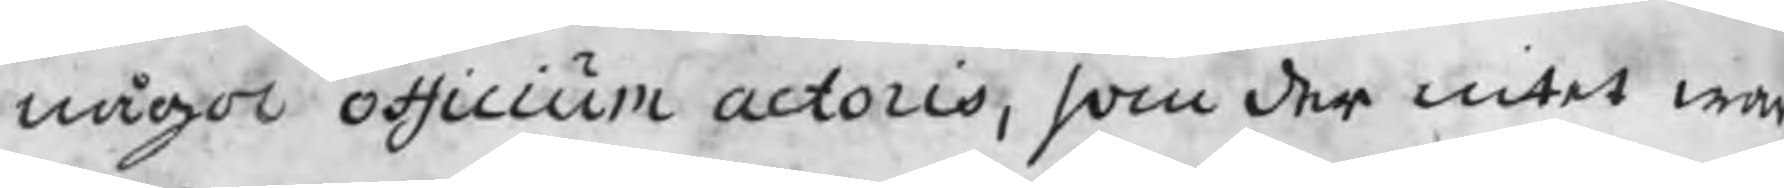något officium actoris, som der intet war
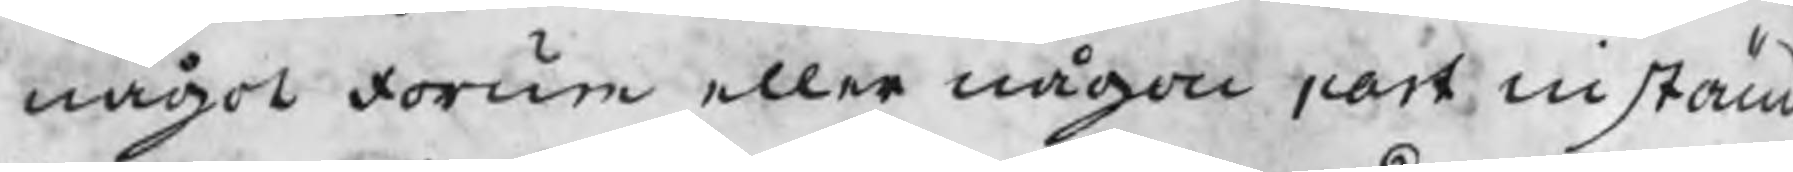något forum eller någon part instäm
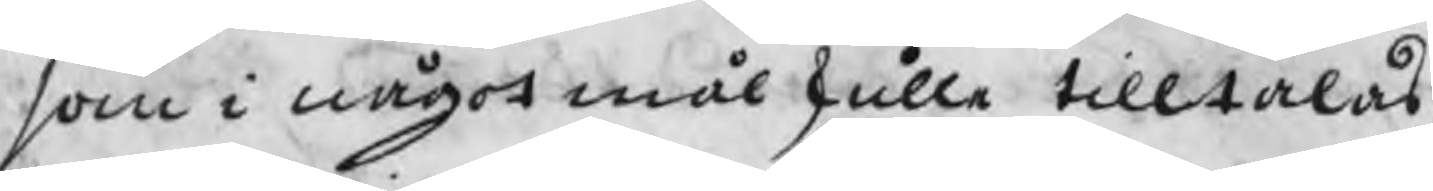som i något mål skulle tilltalas.
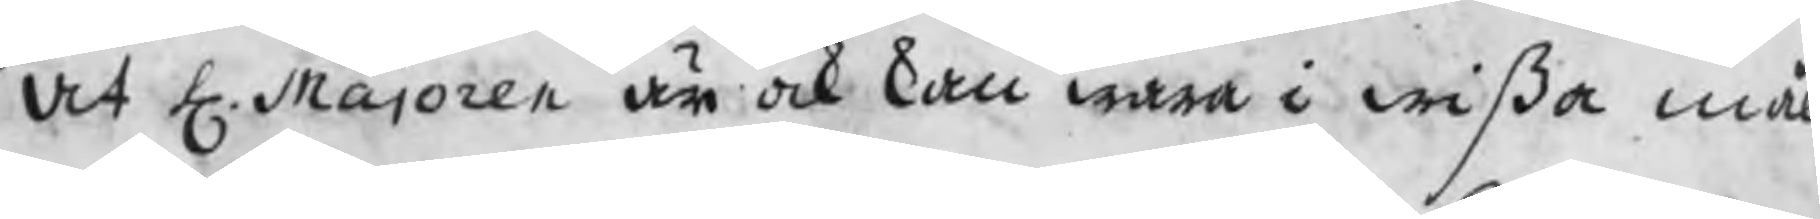At H. Majoren är ock kan wara i wißa mål
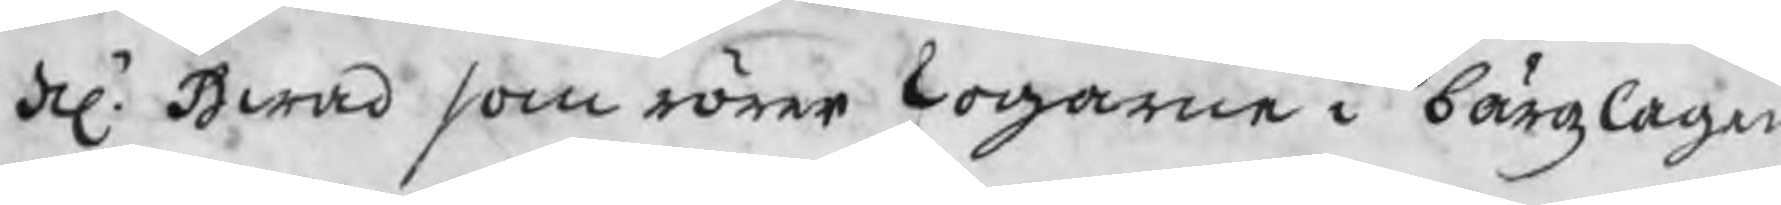del. Hwad som rörer skogarne i bärgzlagen
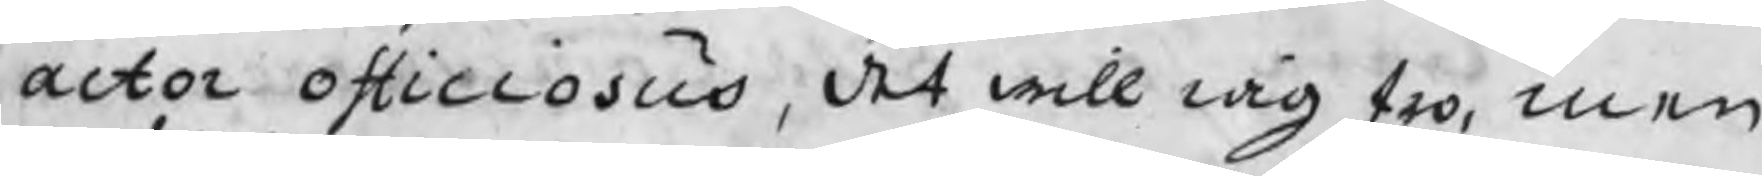actor officiosus, det will iag tro, men
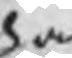han
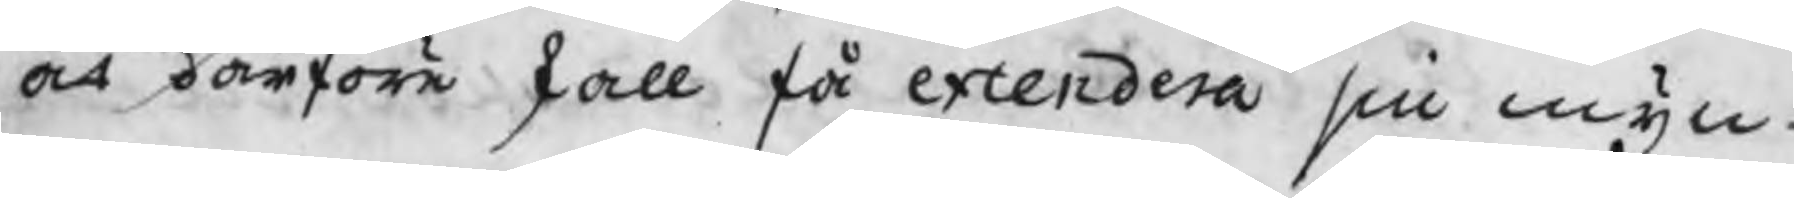at därföre skall få extendera sin myn¬
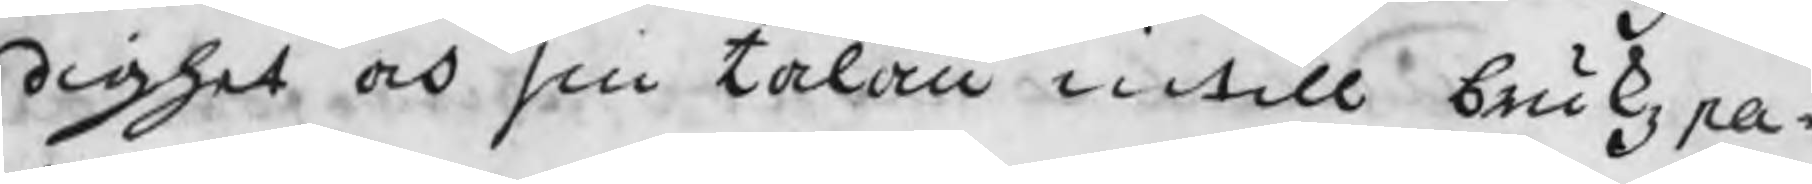dighet och sin talan intill brukzpa¬
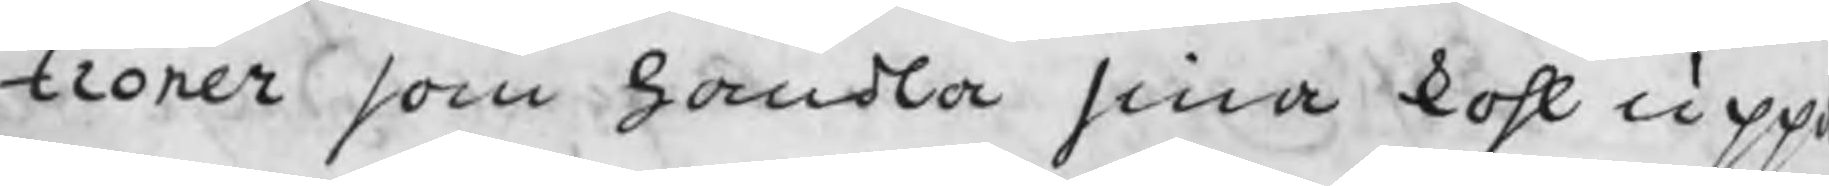troner som handla sina kohl upp
